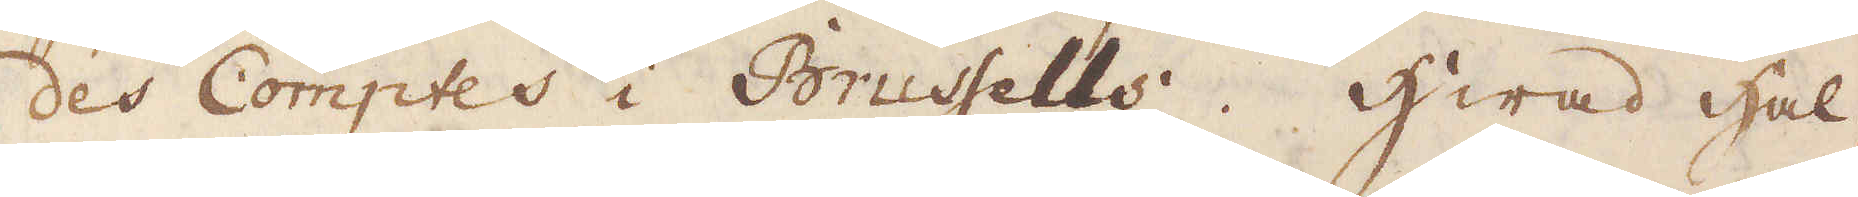des Comptes i Brussells. Hwad hal-
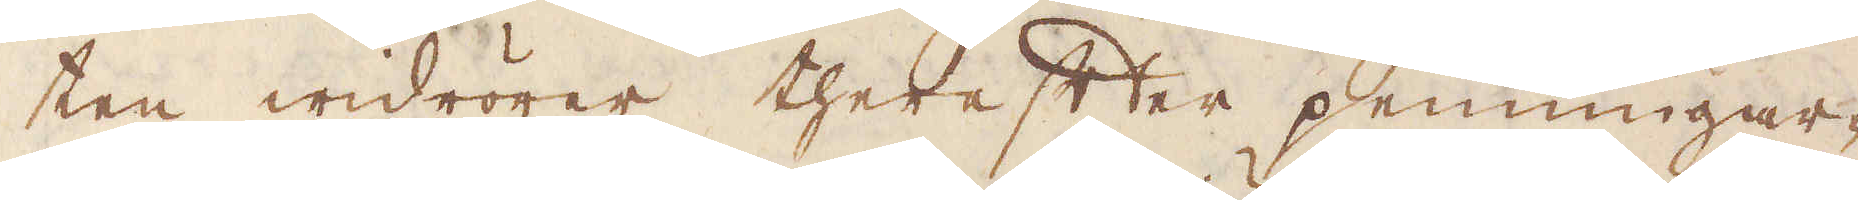ten widrörer therefter penningar-
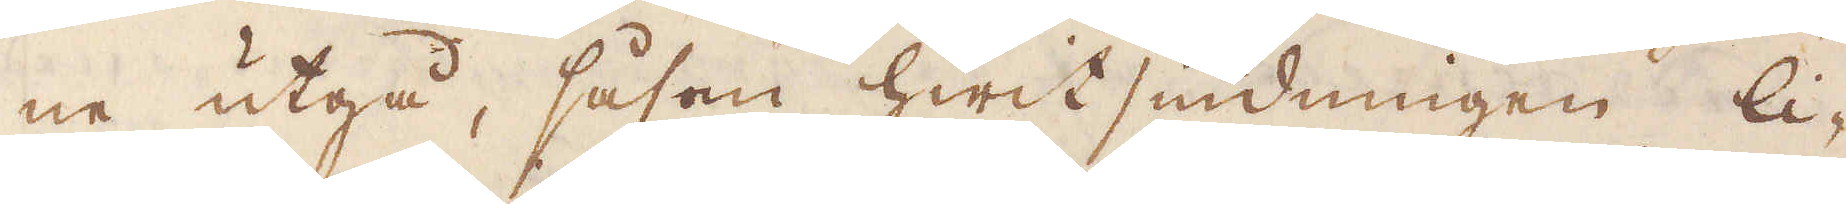ne utgå, såsom hwit siudningen li-
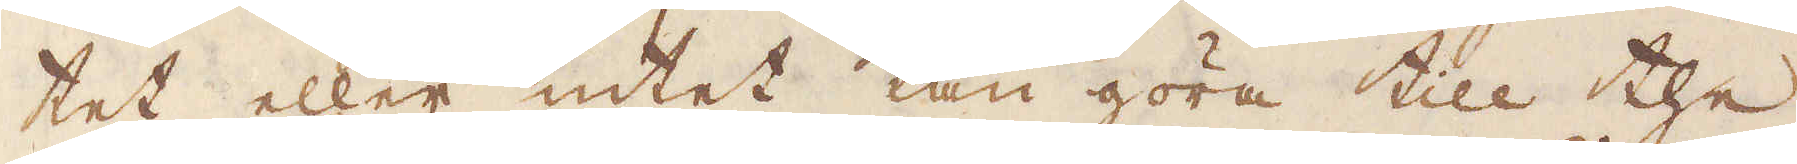tet eller intet kan göra till the
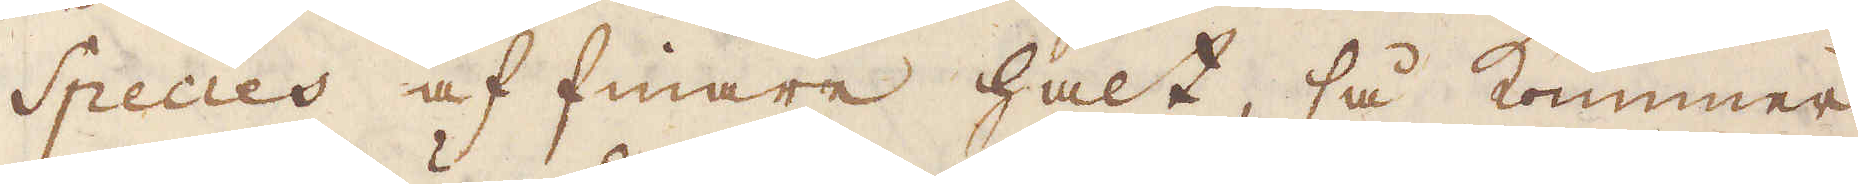Species af finare halt, så kommer
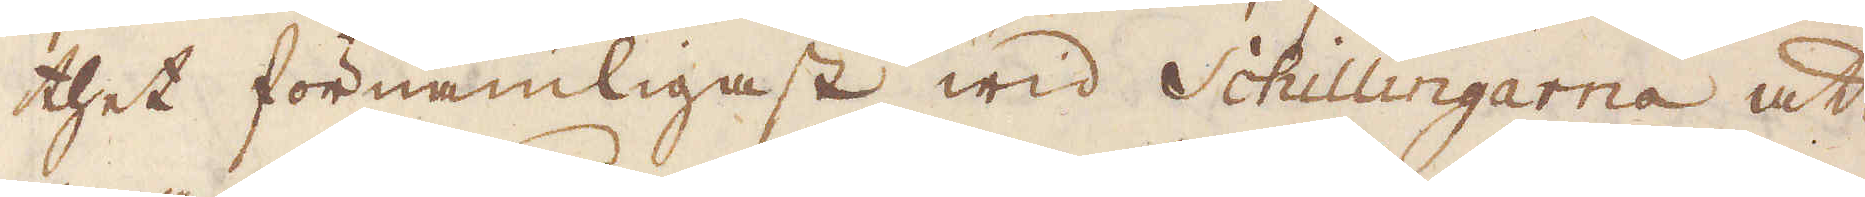thet förnämligast wid Schillingarna att
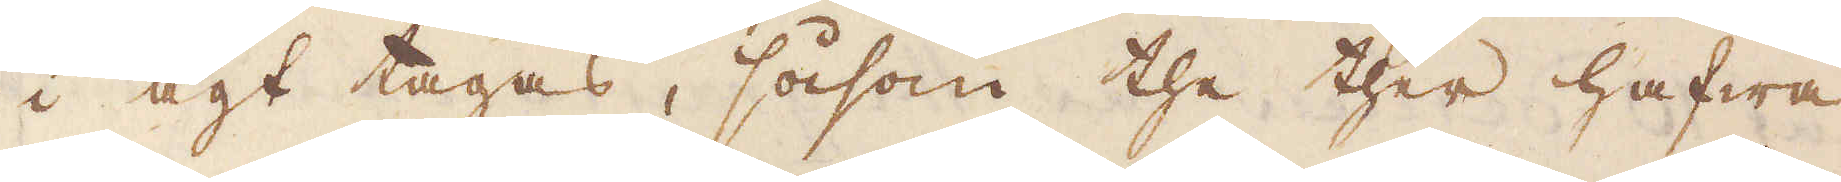i agt tagas, såsom the ther hafwa
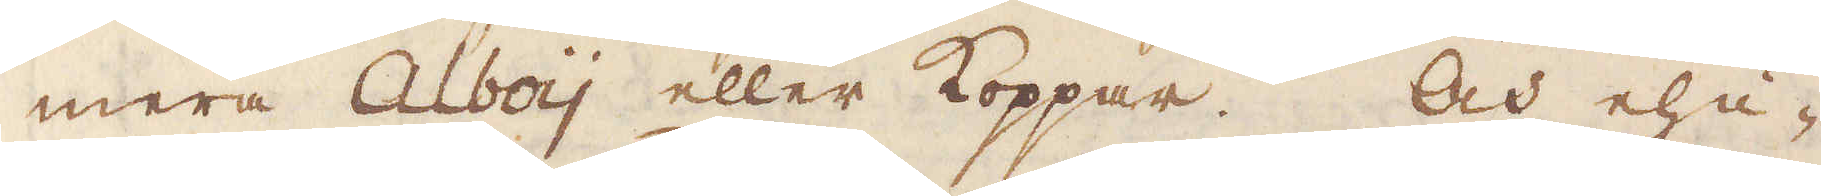mera Alboij eller Koppar. Och ehu-
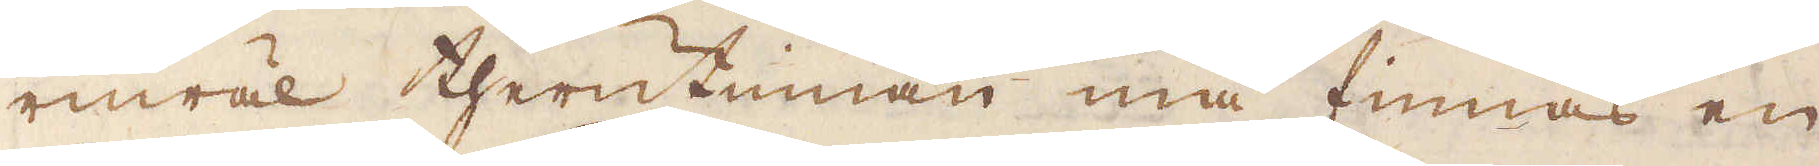ruwäl therutinnan må finnas en
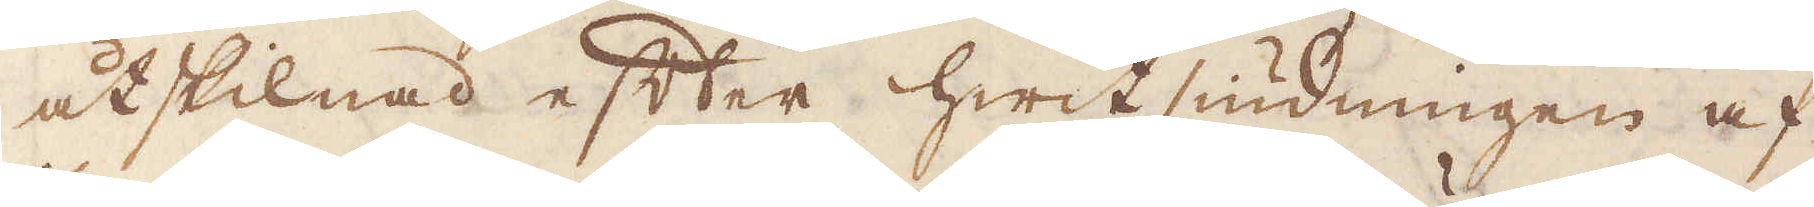åtskillnad efter Hwit siudningen af
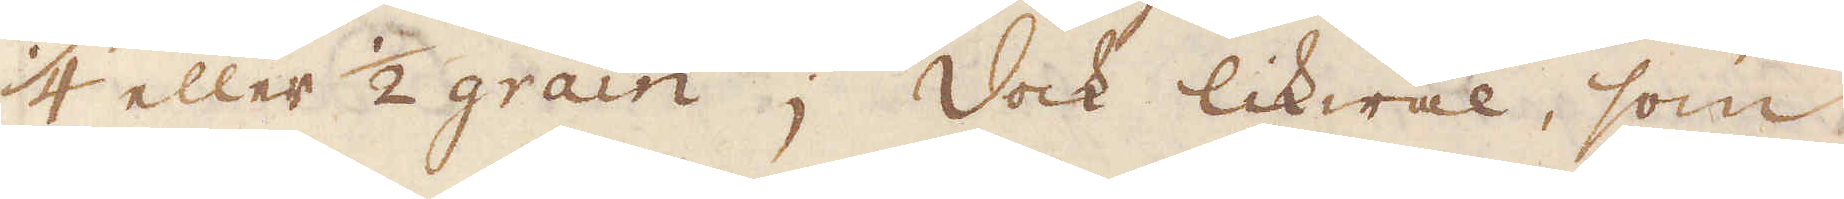1/4 eller 1/2 grain; Dock likwäl, som
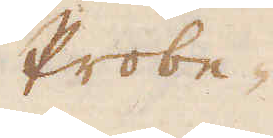Probe
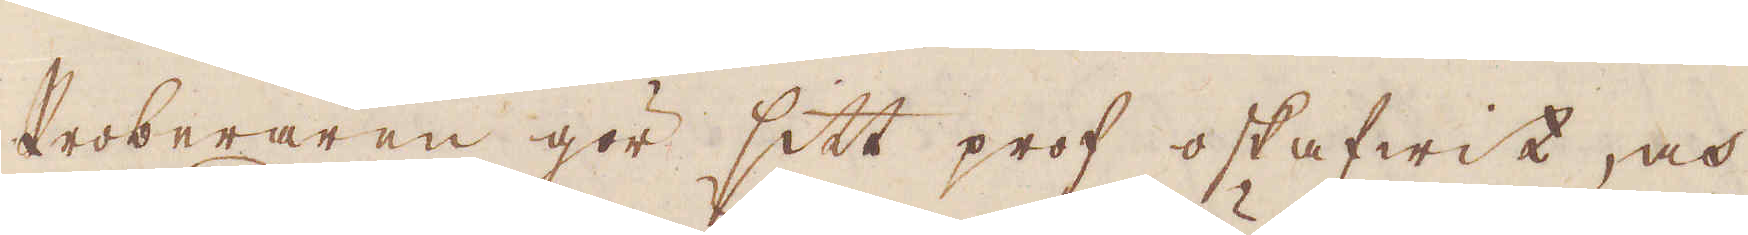Proberaren gör sitt prof oskafwit, och
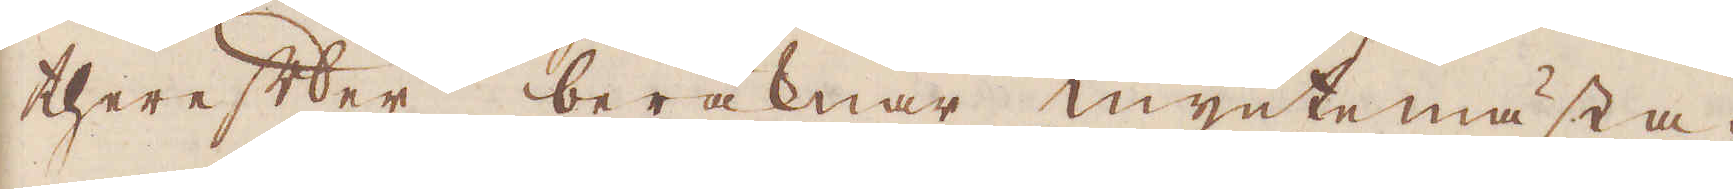therefter beräknar myntemästa-
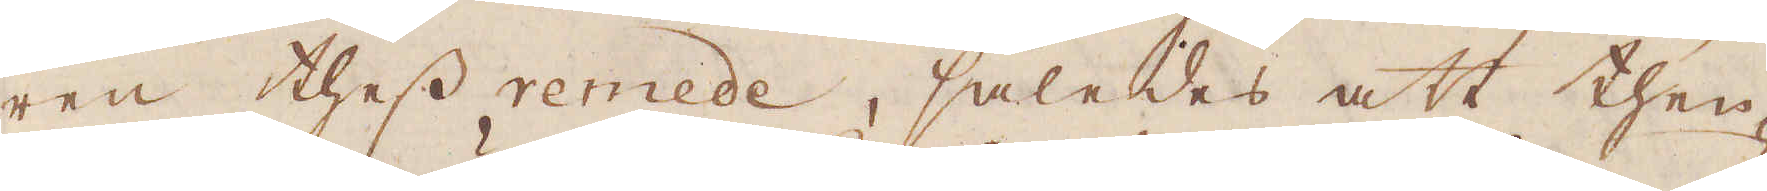ren thess remede, således att then-
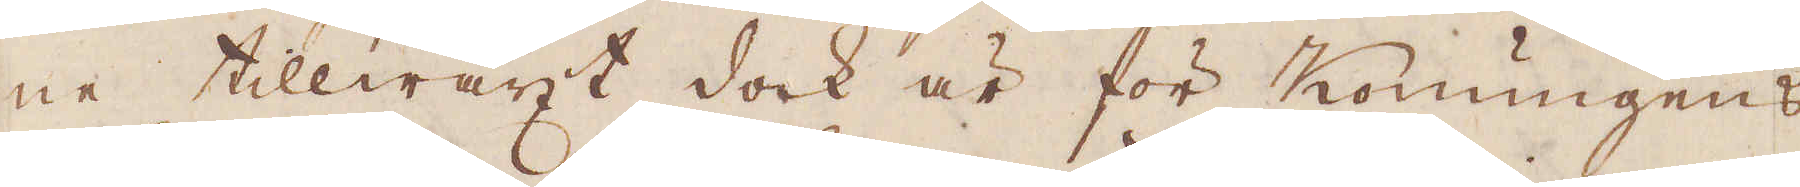ne tillwäxt dock är för Konungens
